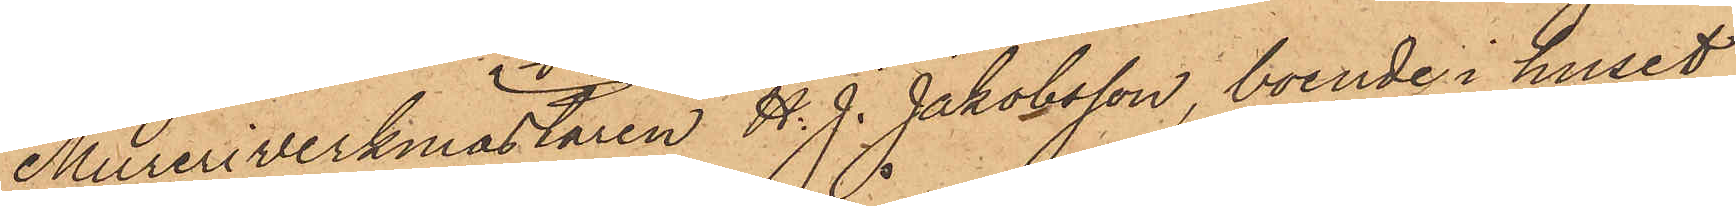Mureriverkmästaren H. J. Jakobsson, boende i huset
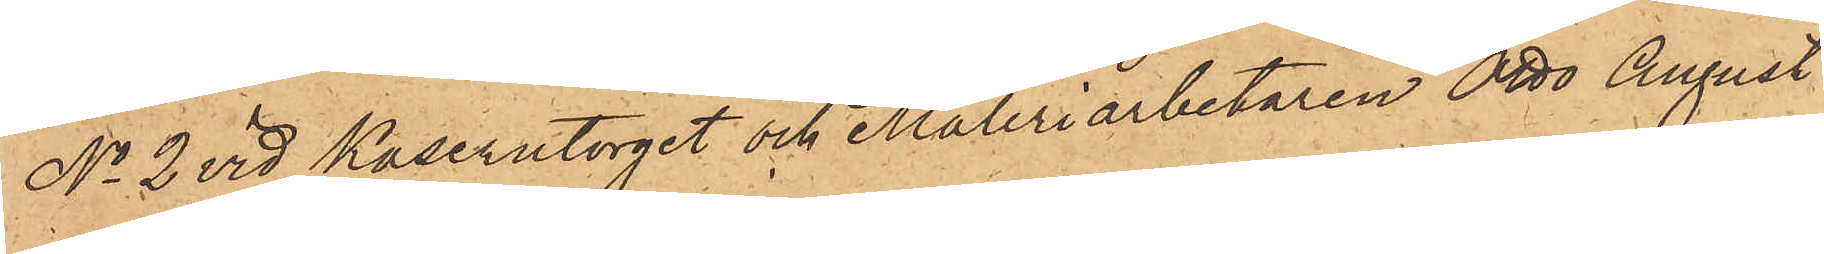No 2 vid Kaserntorget och Måleriarbetaren Otto August
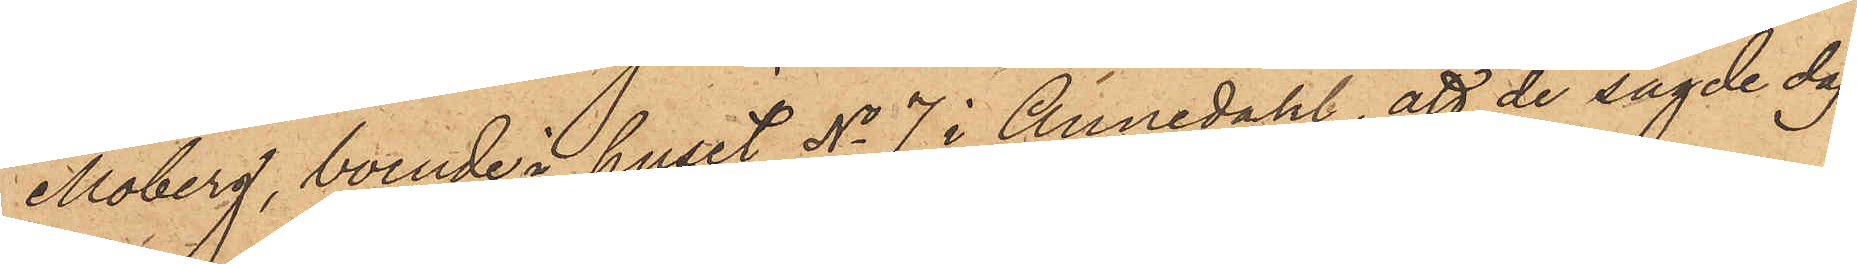Moberg, boende i huset No 7 i Annedahl, att de sagde dag
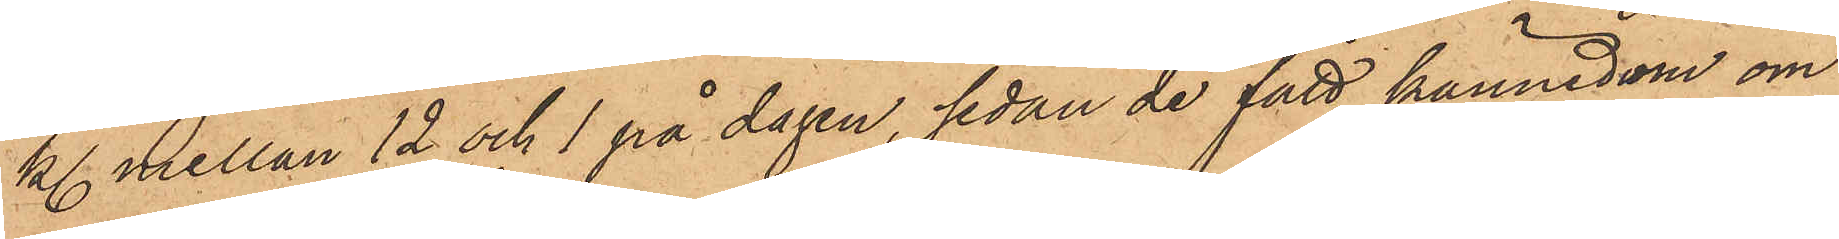kl. mellan 12 och 1 på dagen, sedan de fått kännedom om
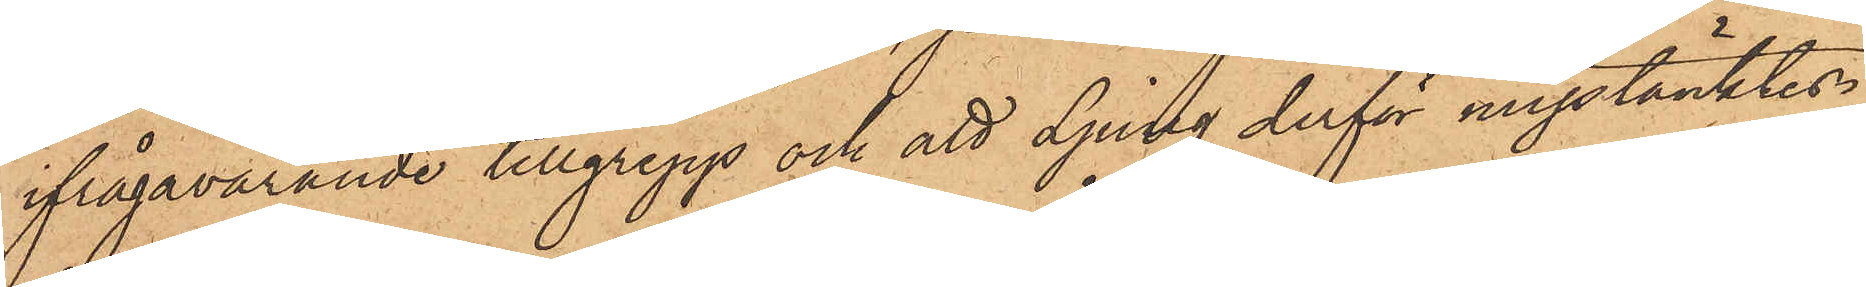ifrågavarande tillgrepp och att Ljung derför misstänktes,
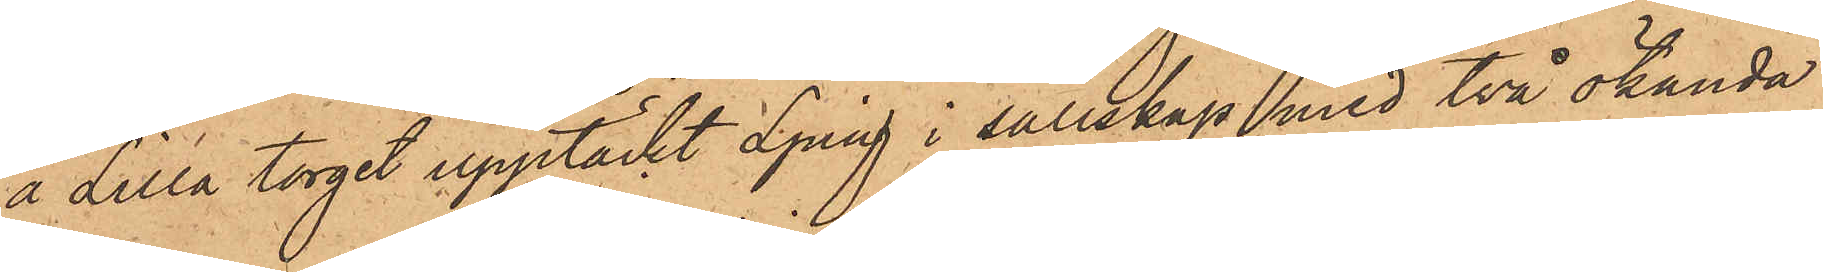å Lilla torget upptäckt Ljung i sällskap med två okända
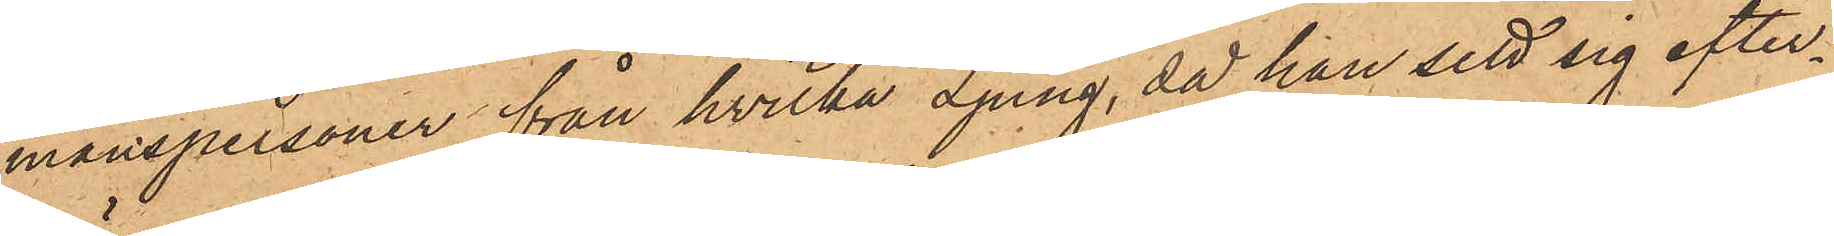manspersoner, från hvilka Ljung, då han sett sig efter¬
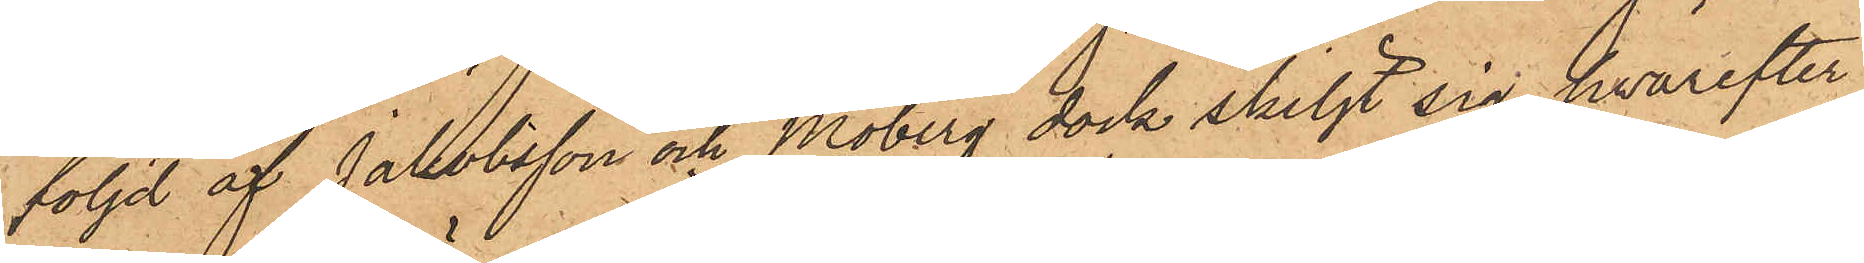följd af Jakobsson och Moberg dock skiljt sig, hvarefter
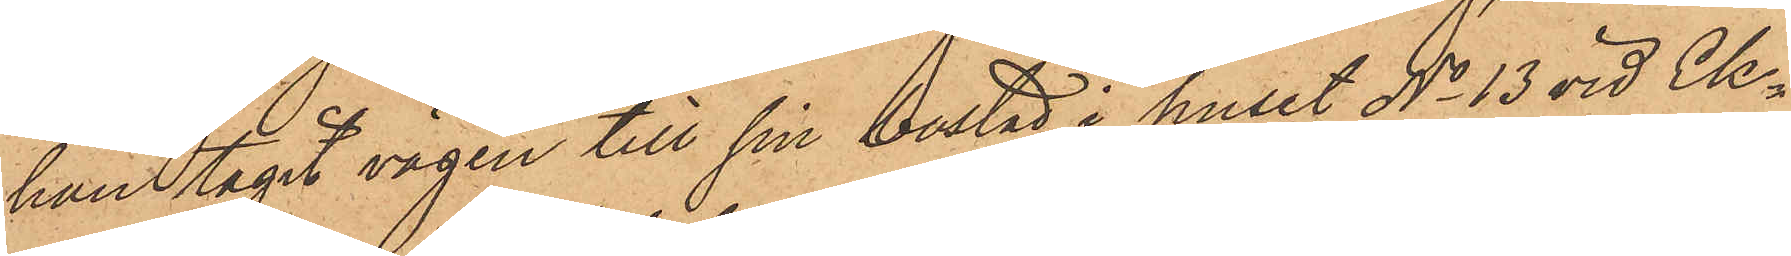han tagit vägen till sin bostad i huset No 13 vid Ek¬
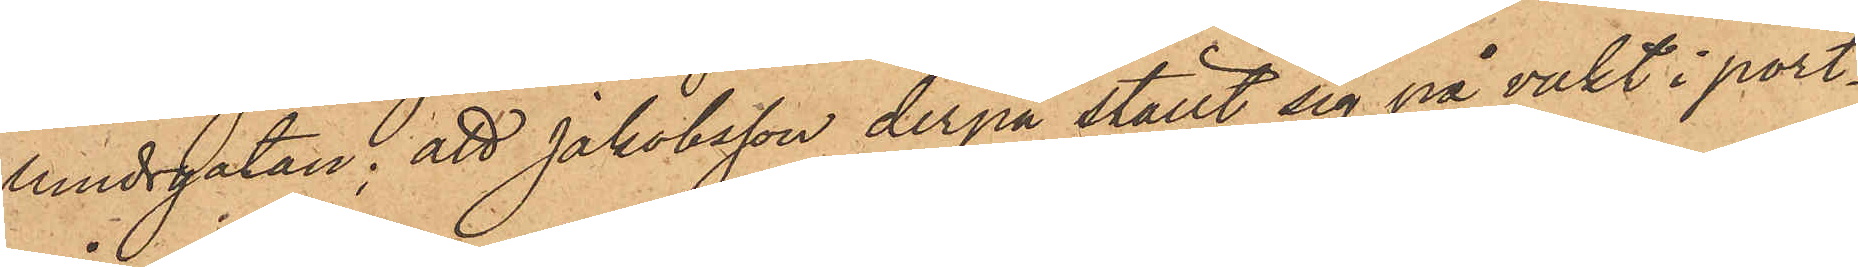lundsgatan; att Jakobsson derpå ställt sig på vakt i port¬
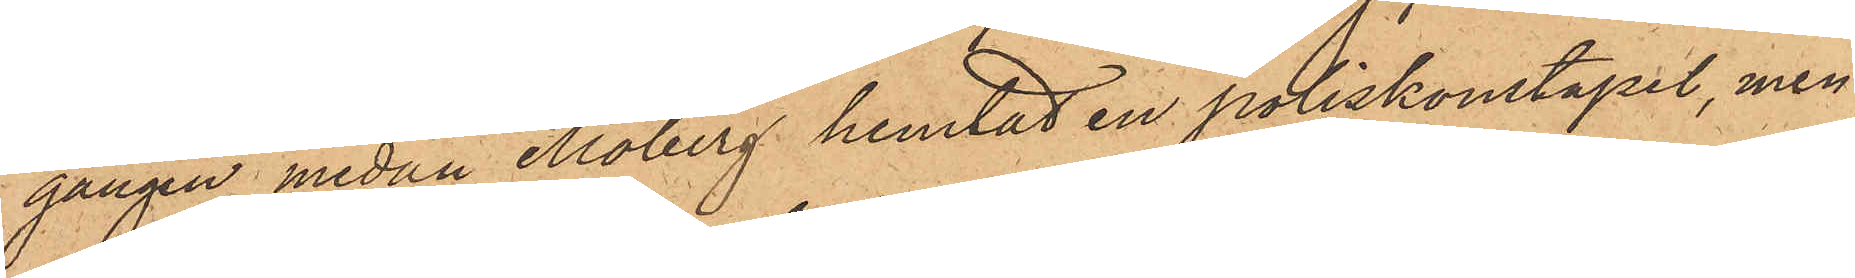gången medan Moberg hemtat en poliskonstapel, men
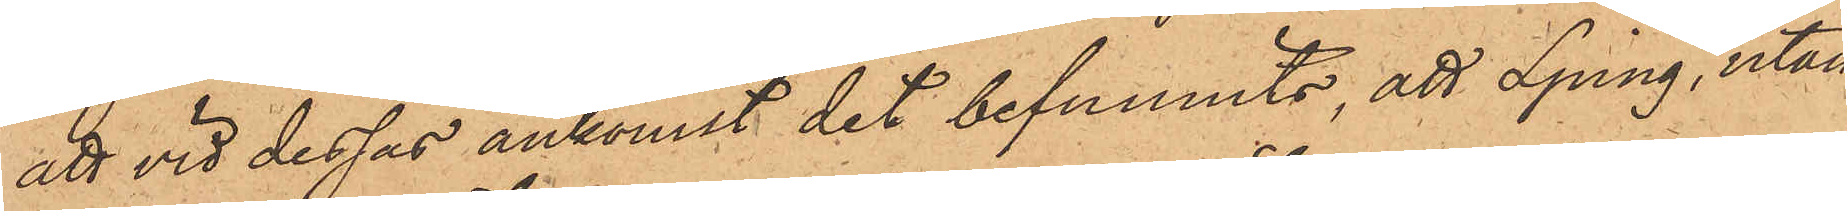att vid dessas ankomst det befunnits, att Ljung, utan
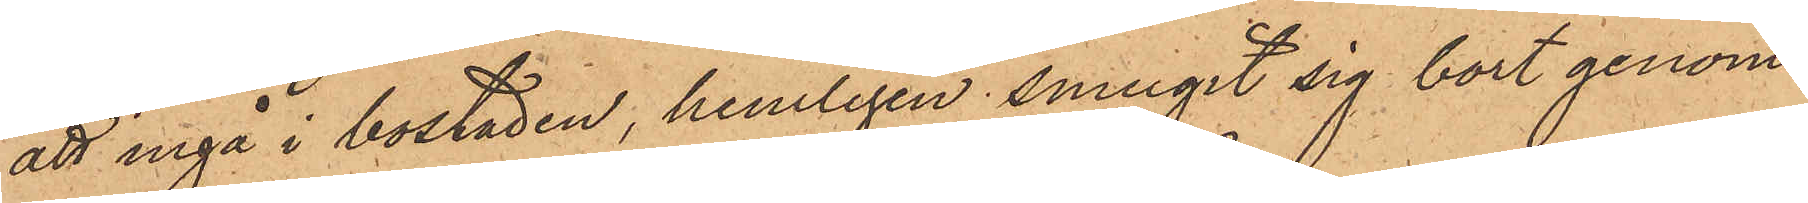att ingå i bostaden, hemligen smugit sig bort genom
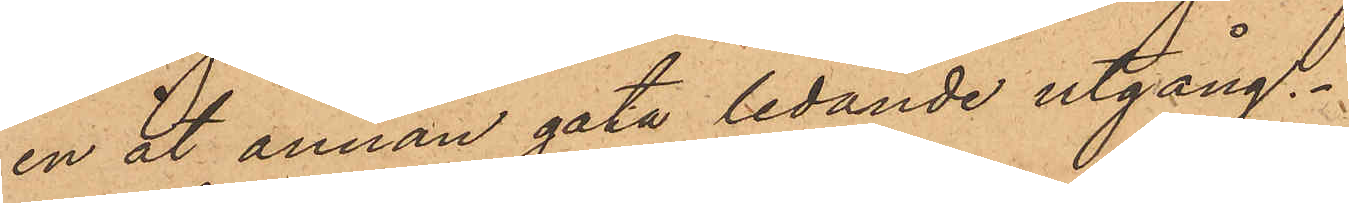en åt annan gata ledande utgång.
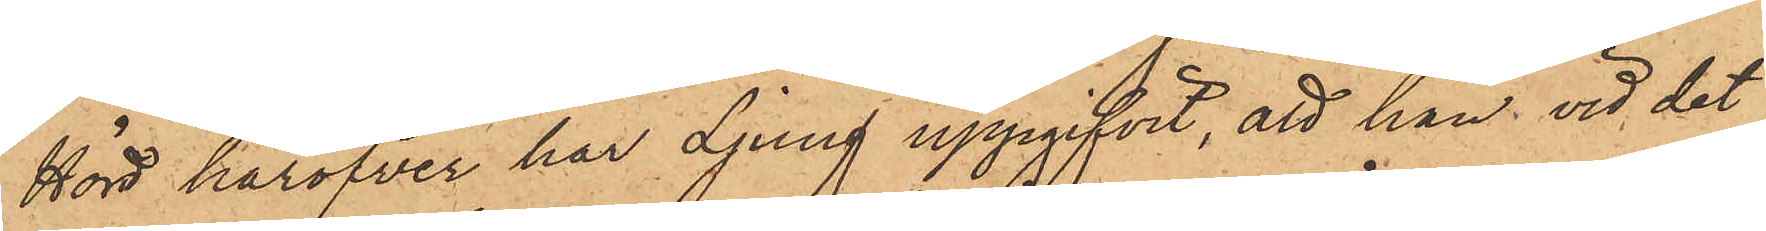Hörd häröfver har Ljung uppgifvit, att han vid det
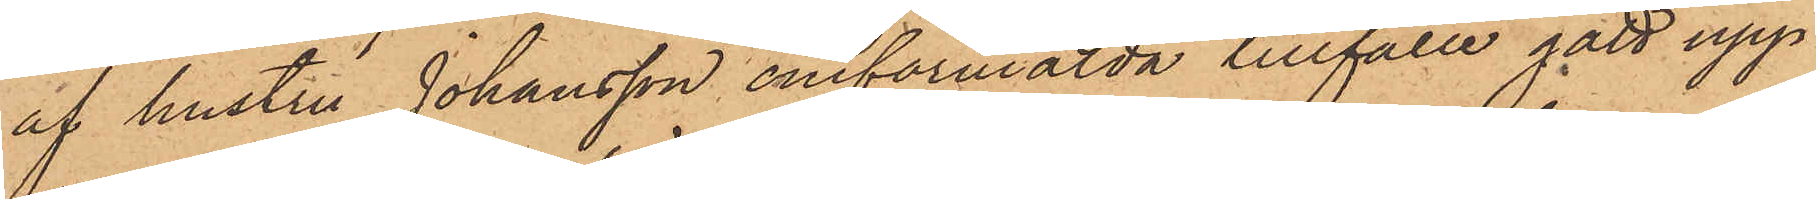af hustru Johansson omförmälda tillfälle gått upp
